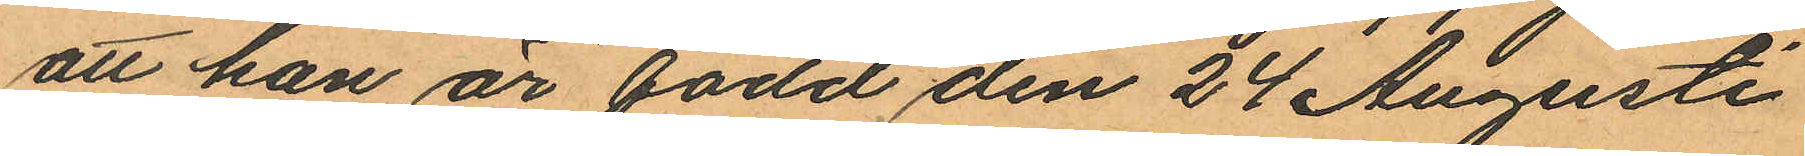att han är född den 24 Augusti
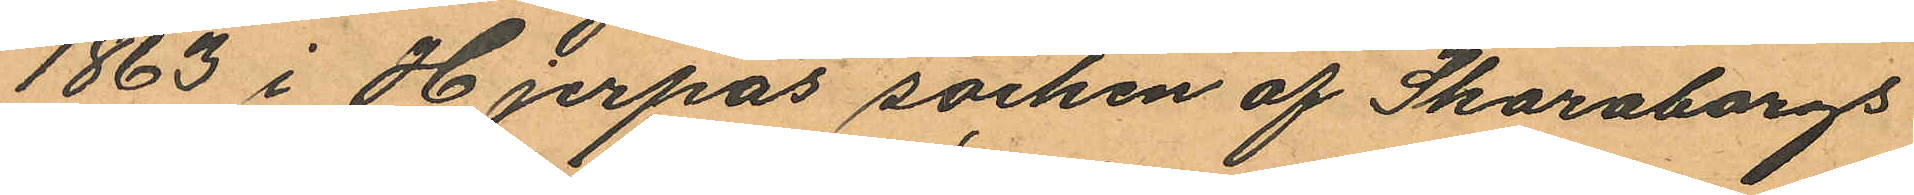1863 i Hjerpås socken af Skaraborgs
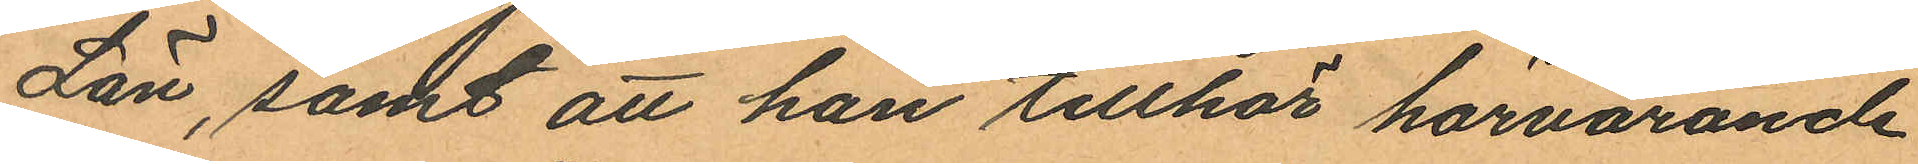Län, samt att han tillhör härvarande
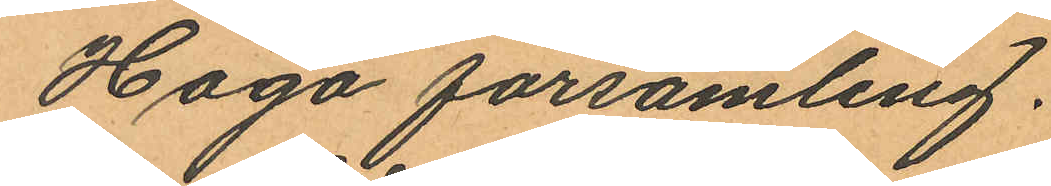Haga församling.
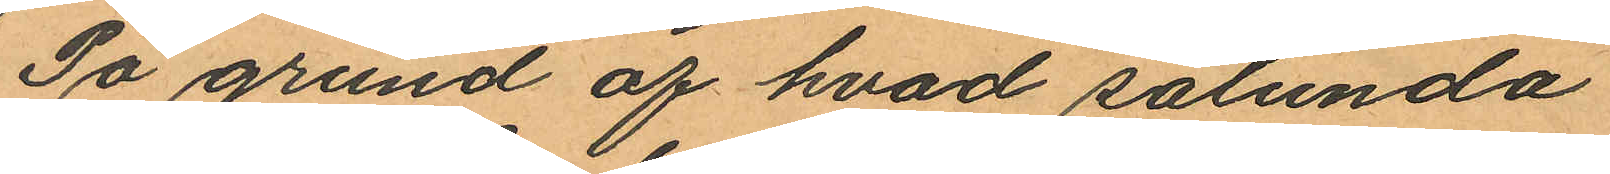På grund af hvad sålunda
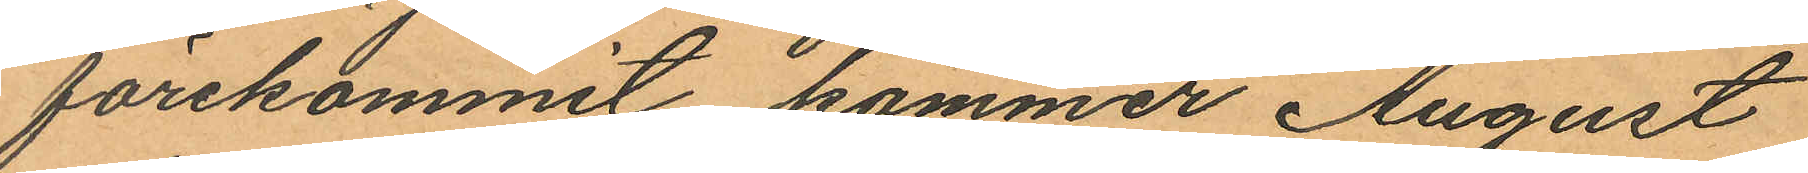förekommit kommer August
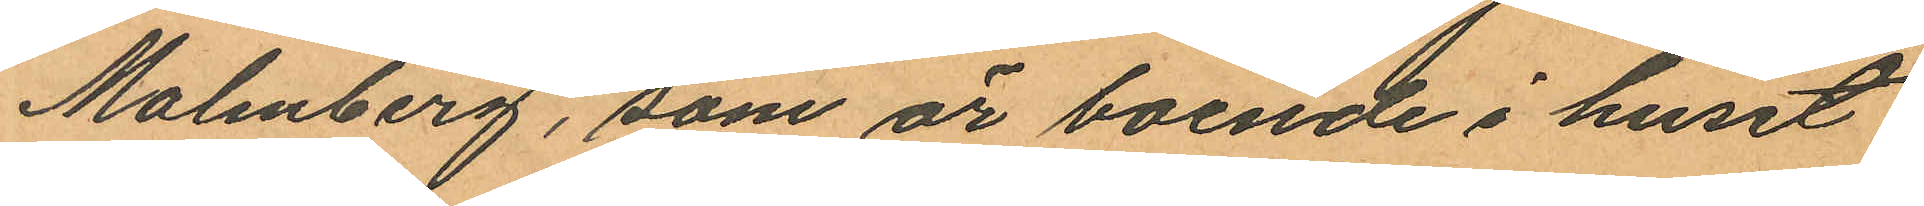Malmberg, som är boende i huset
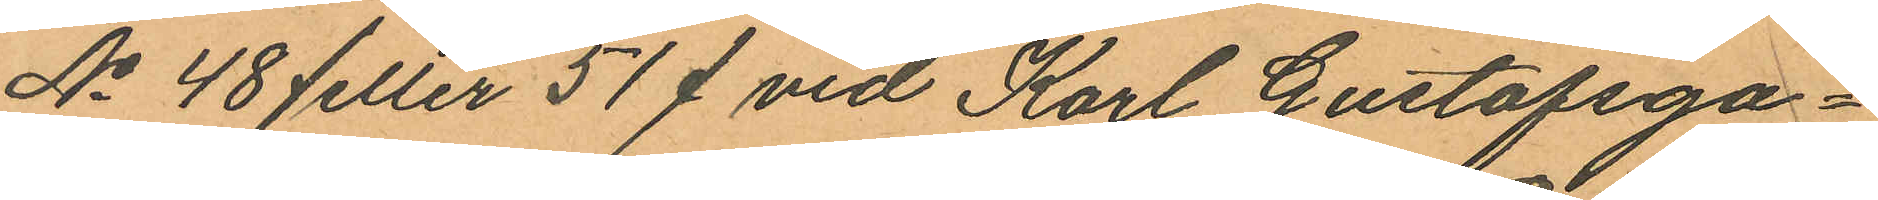No 48 /eller 51/ vid Karl Gustafsga¬
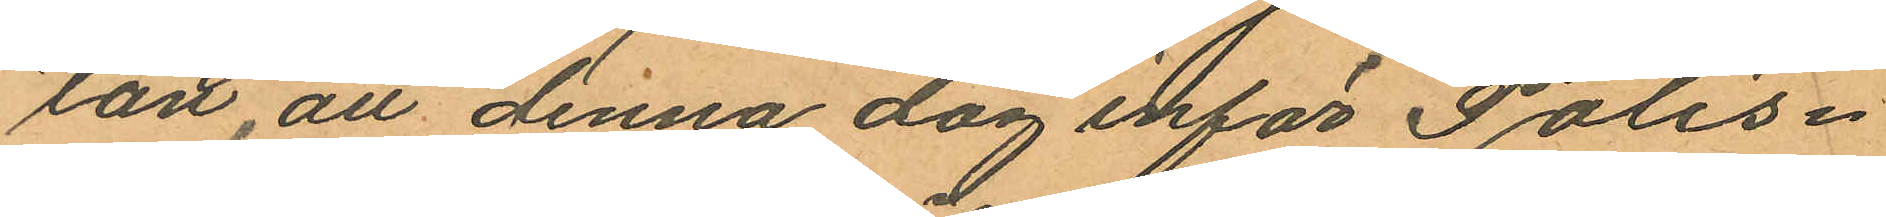tad, att denna dag inför Polis¬
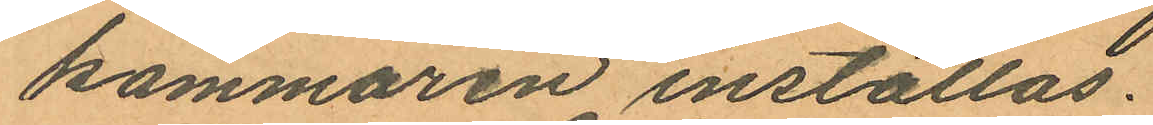kammaren inställas.
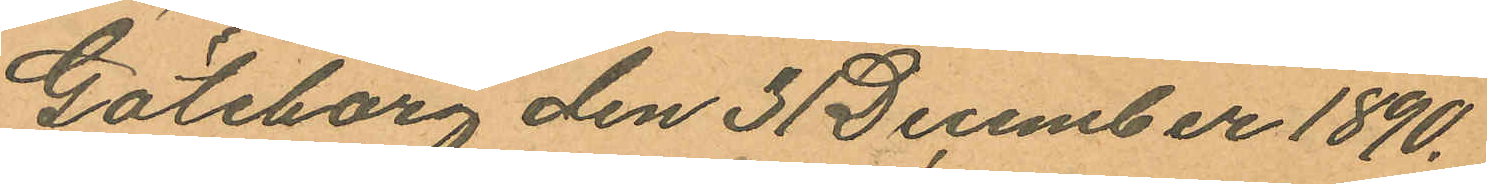Göteborg den 31 December 1890.
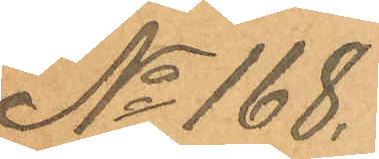No 168.
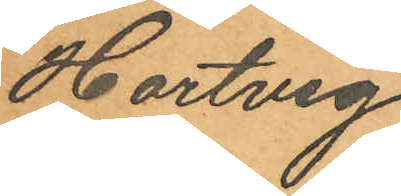Hartvig
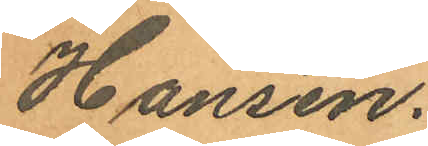Hansen.
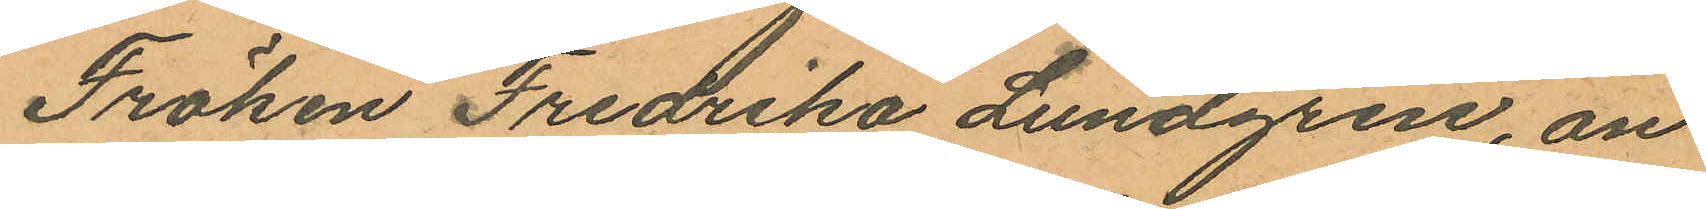Fröken Fredrika Lundgren, an
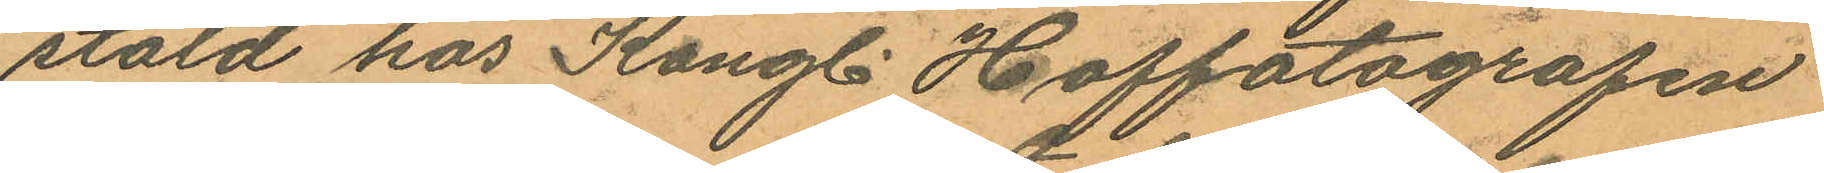stäld hos Kongl. Hoffotografen
